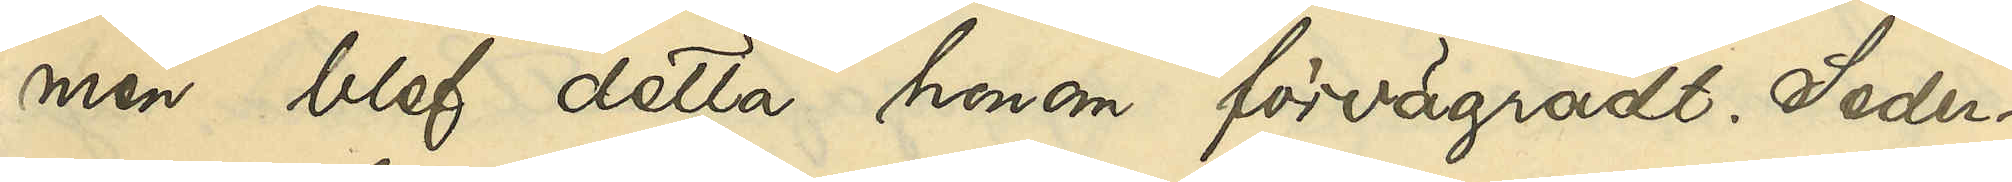men blef detta honom förvägradt. Seder¬
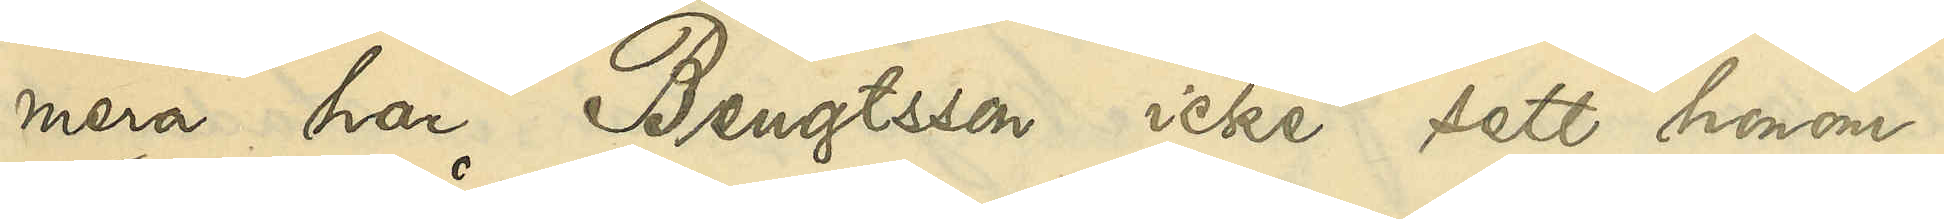mera har Bengtsson icke sett honom.
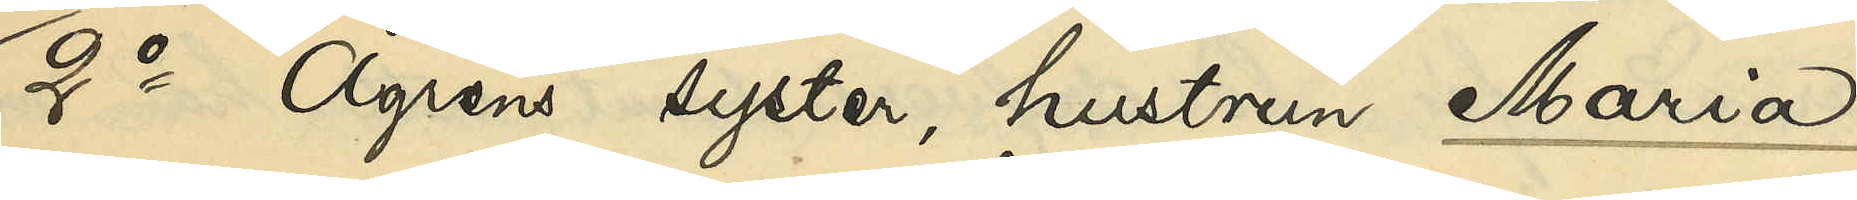2o Ågrens syster, hustrun Maria
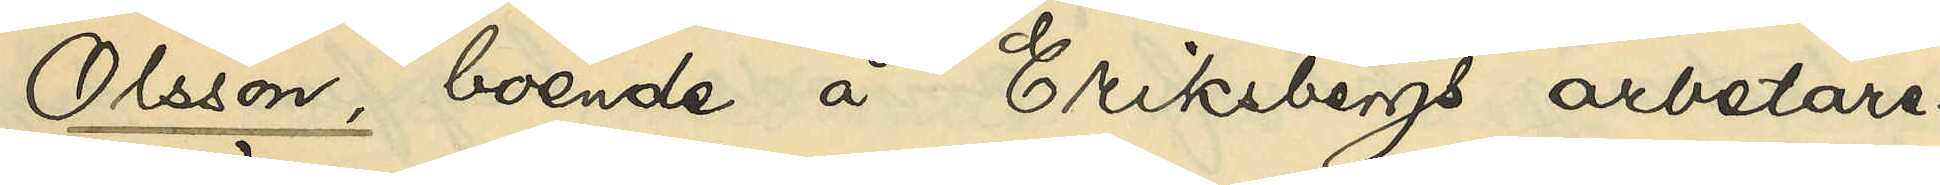Olsson, boende å Eriksbergs arbetare¬
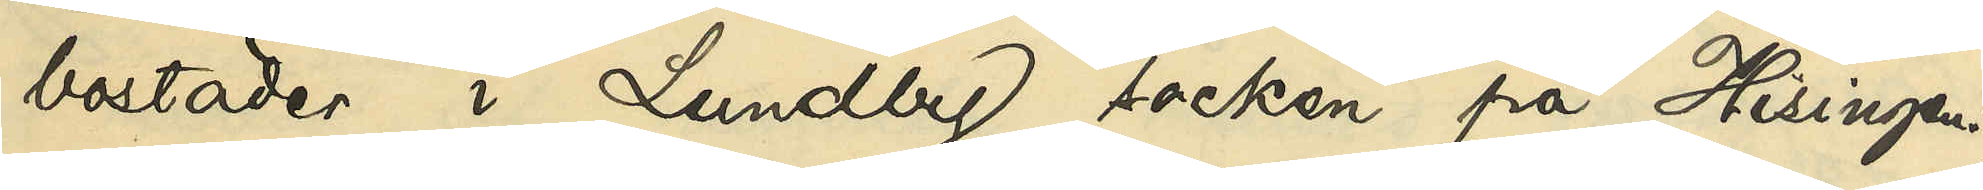bostäder i Lundby socken på Hisingen:
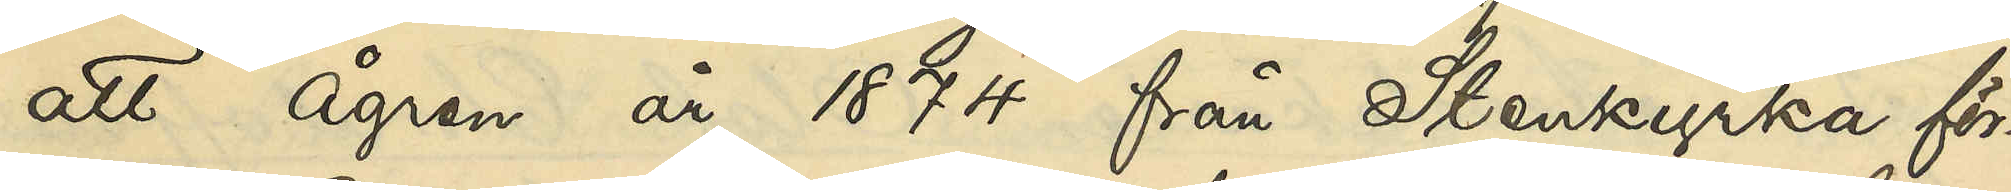att Ågren år 1874 från Stenkyrka för¬
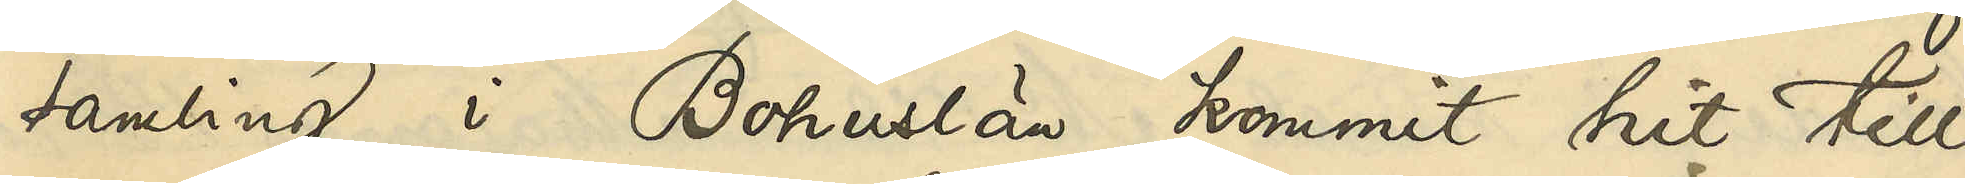samling i Bohuslän kommit hit till
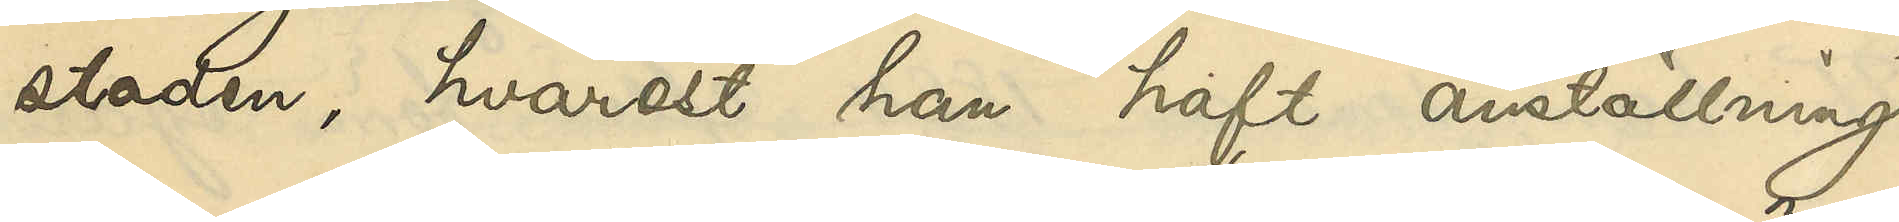staden, hvarest han haft anställning
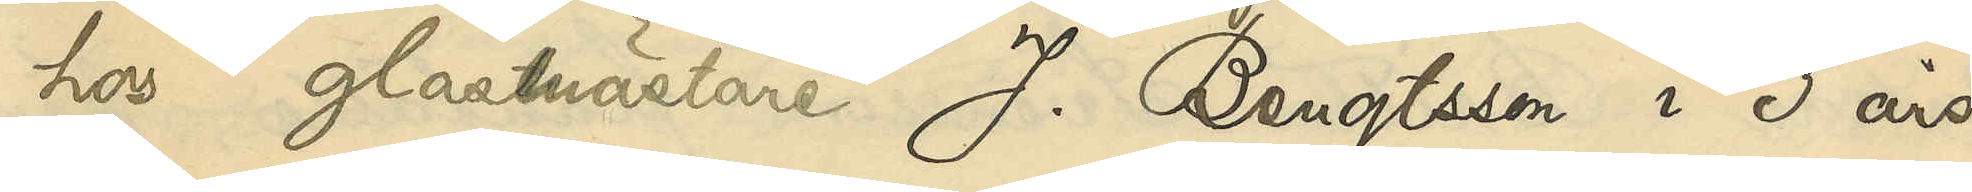hos glasmästare J. Bengtsson i 3 års
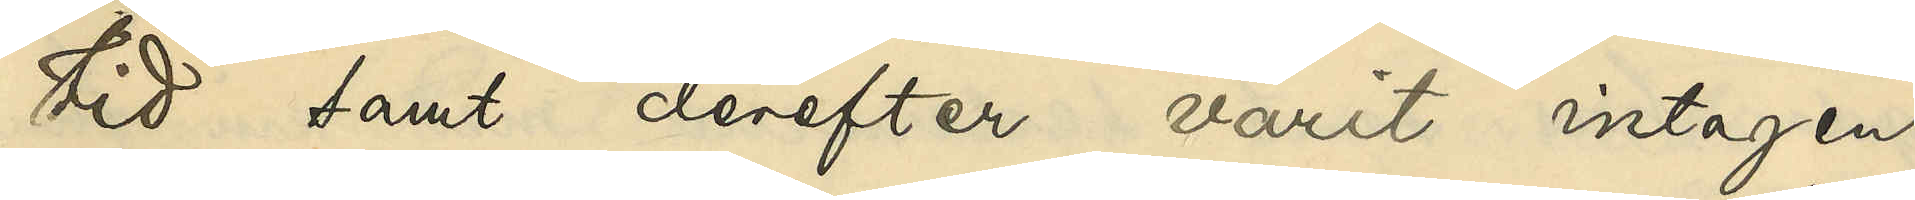tid samt derefter varit intagen
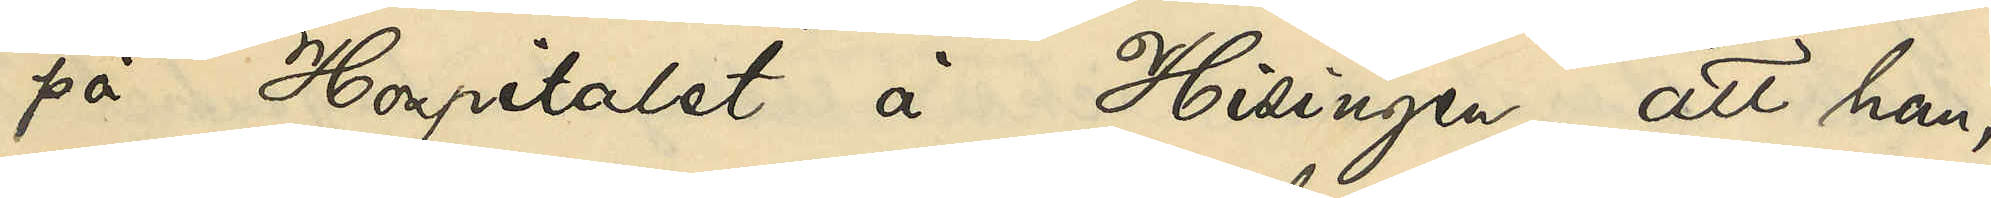på Hospitalet å Hisingen, att han,
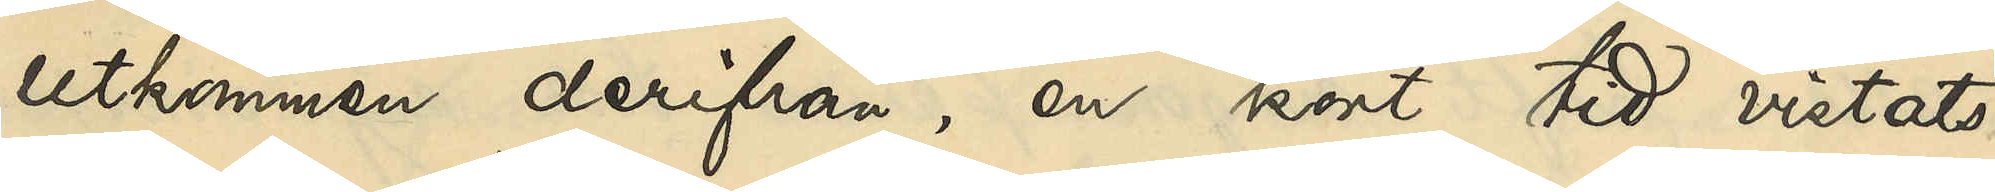utkommen derifrån, en kort tid vistats
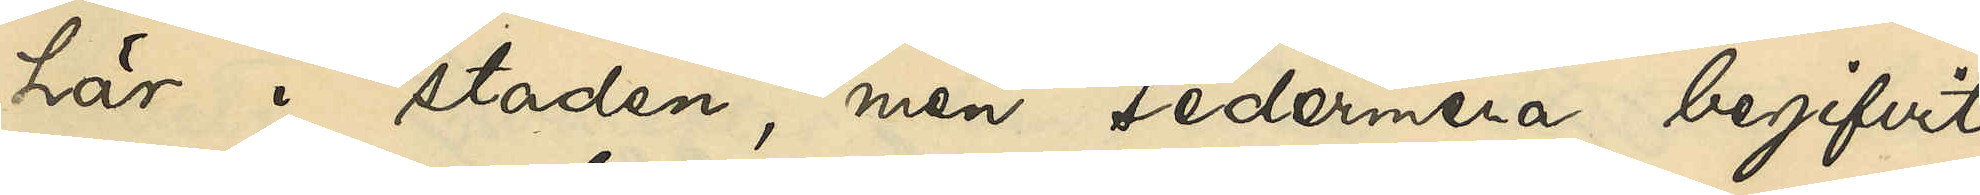här i staden, men sedermera begifvit
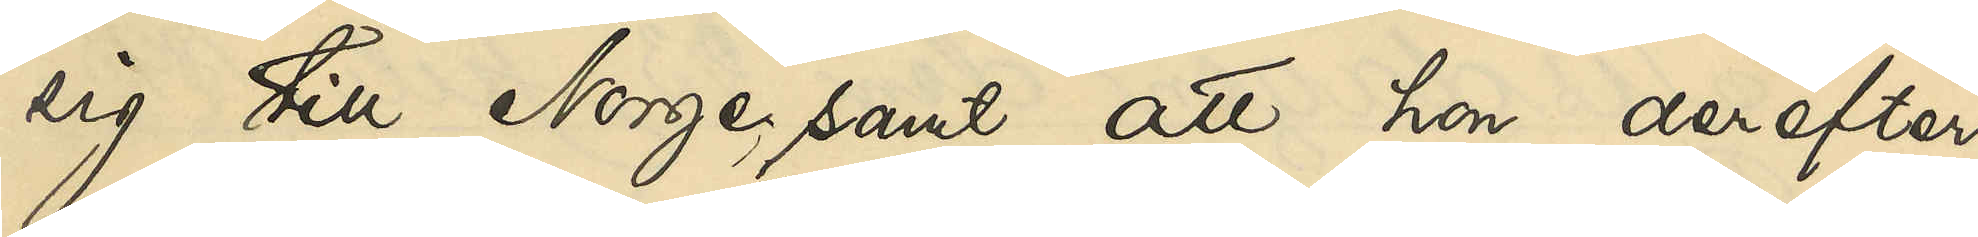sig till Norge, samt att hon derefter
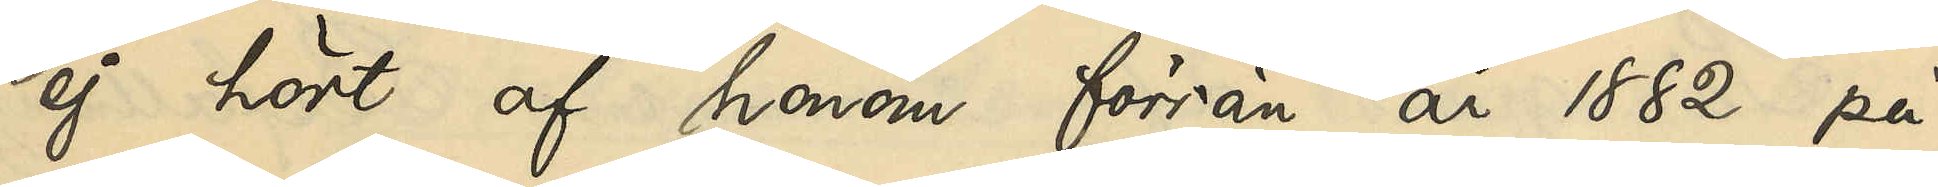ej hört af honom förrän år 1882 på
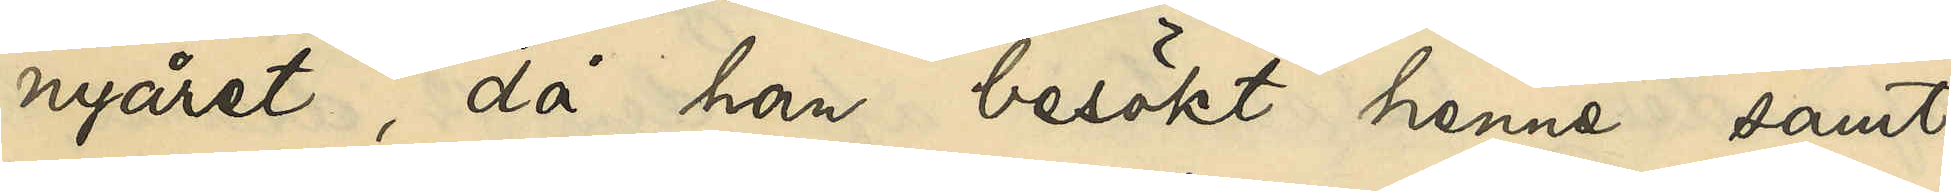nyåret, då han besökt henne samt
